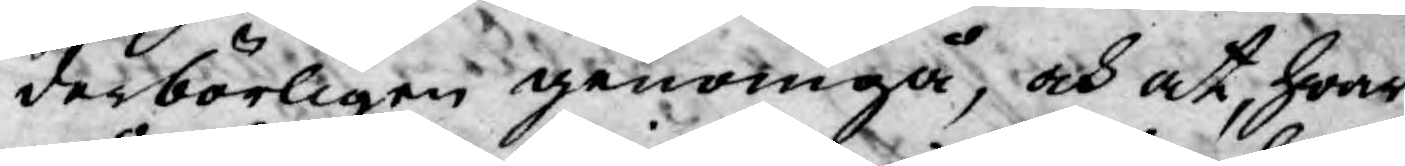derbörligen genomgå, och at, hwar
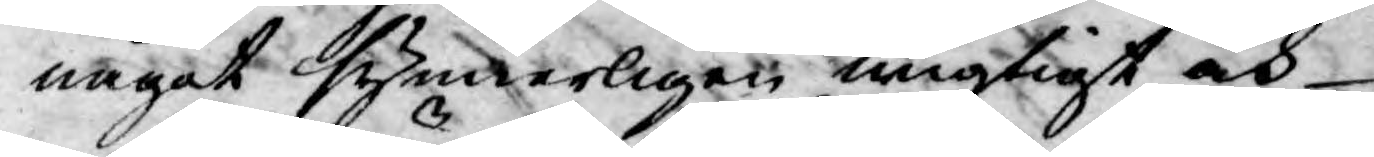något synnerligen wigtigt och
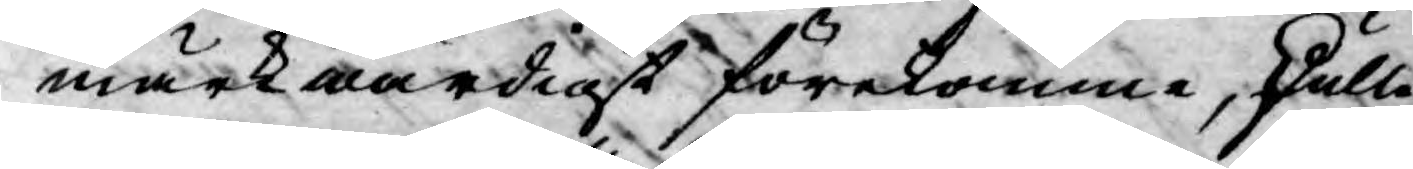märkwärdigt förekomme, skulle
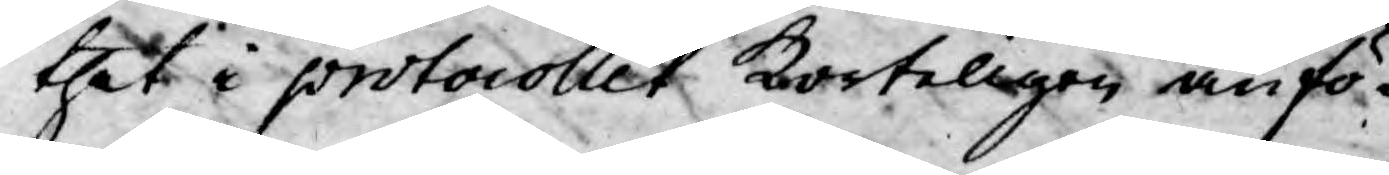thet i protocollet korteligen anfö¬
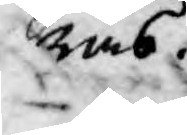ras.
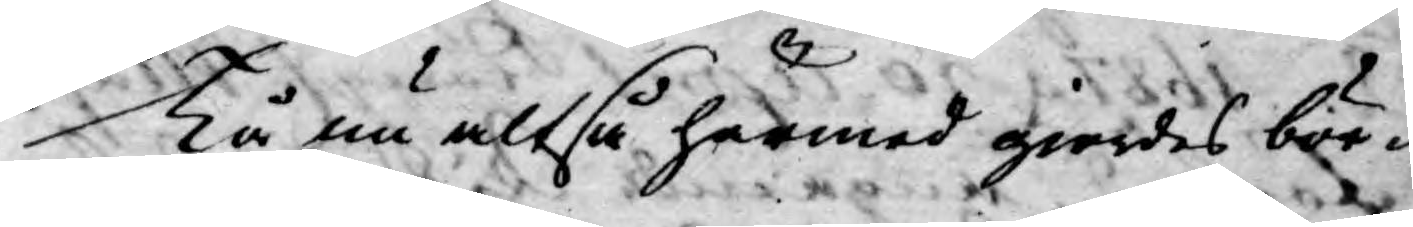Tå nu altså härmed giordes bör¬
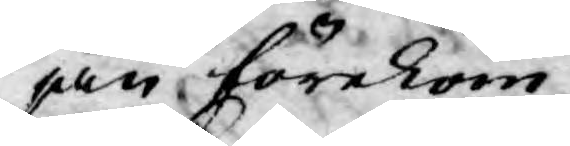jan förekom
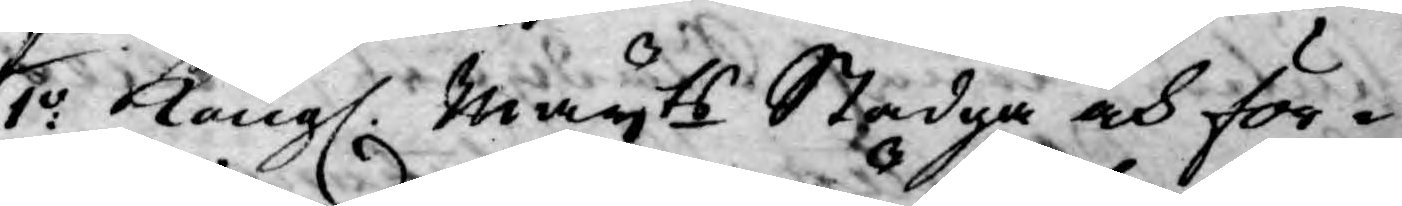1:o Kongl. Mayts Stadga och för¬
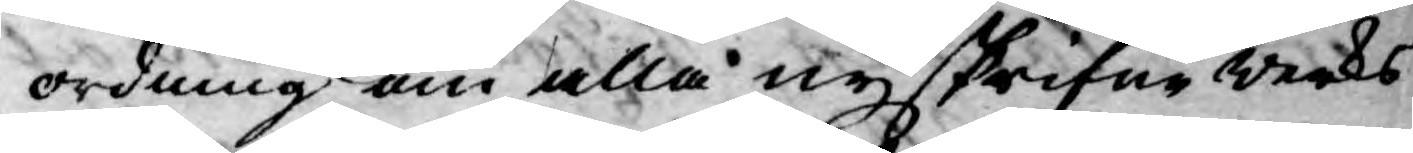ordning om alla nyskrifne werks
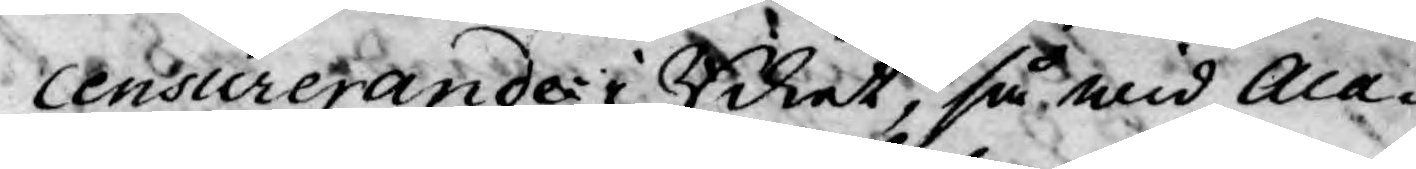censurerande i Riket, så wid Aca¬
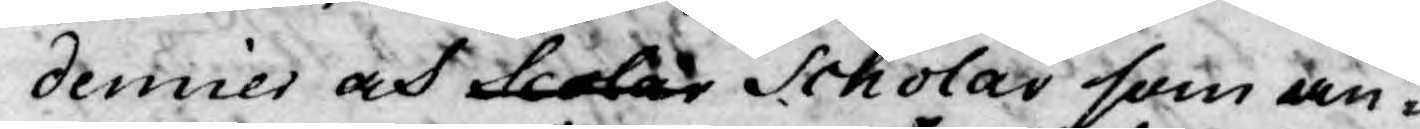demier och Scolar Scholar som an¬
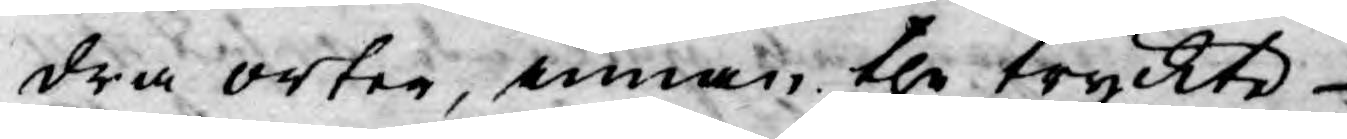dra orter, innan the tryckte
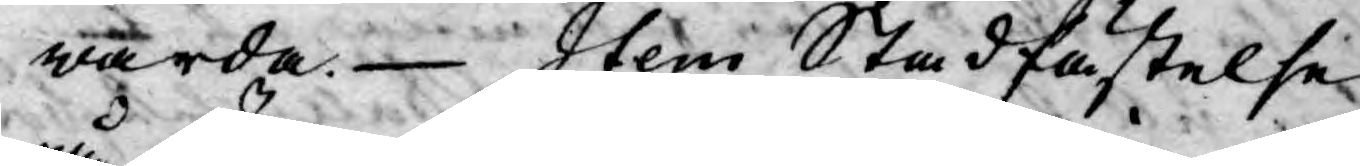warda. Item Stadfästelse
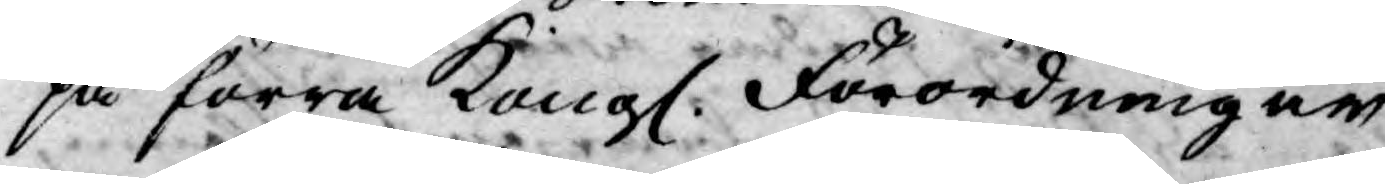på förra Kongl. Förordning en
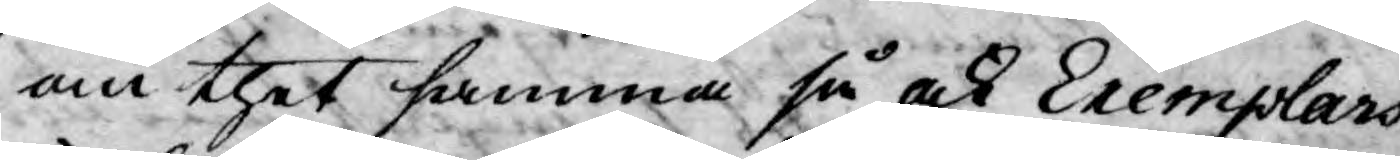om thet samma så ock Exemplars
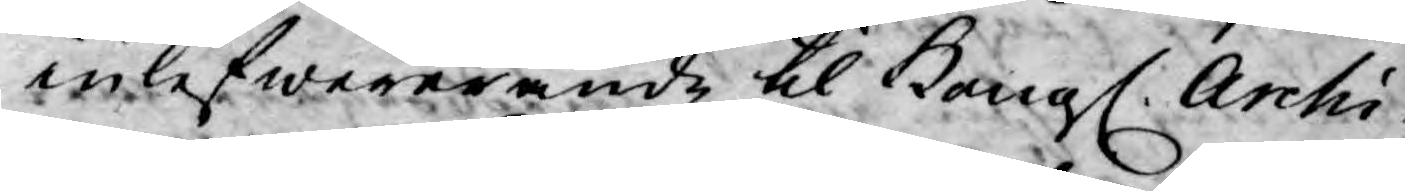inlefwererande til Kongl. Archi¬
